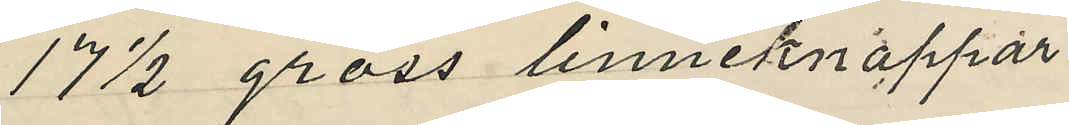17 1/2 gross linneknappar
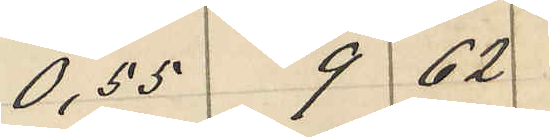0,55 9 62
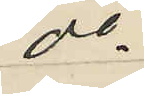do
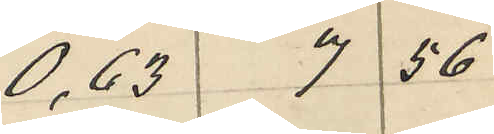0,63 7 56
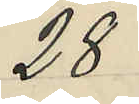28
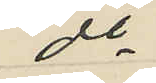do
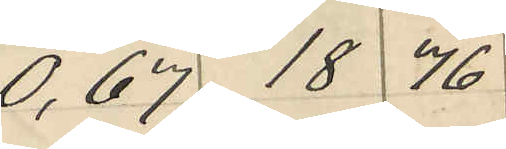0,67 18 76
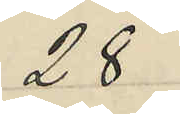28
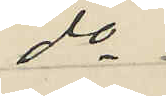do
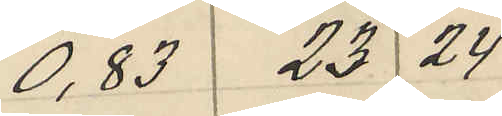0,83 23 24
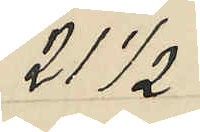21 1/2
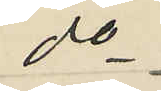do
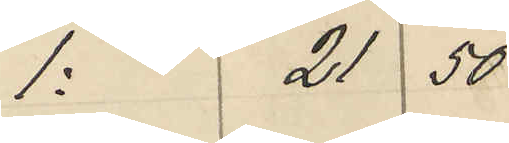1: 21 50
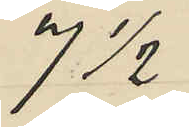7 1/2
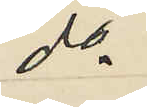do
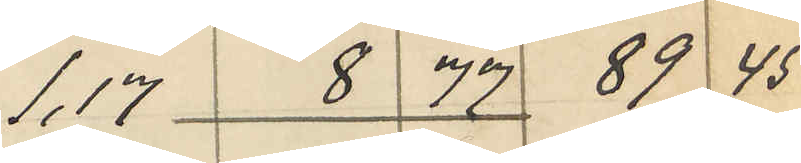1,17 8 77 89 45
